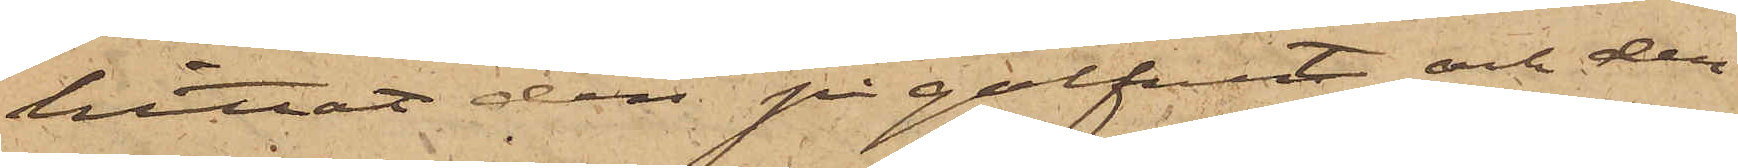hittat den på golfvet och der¬
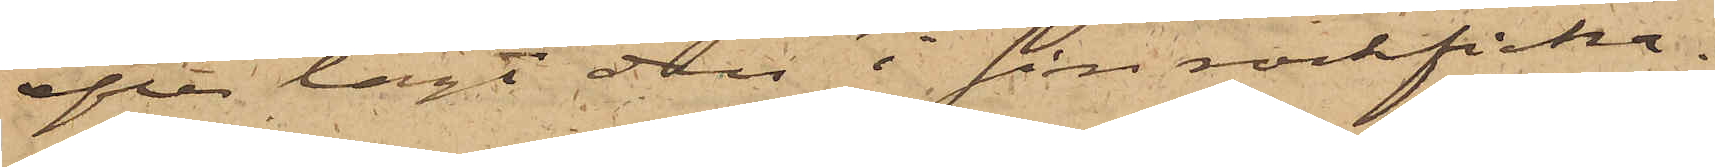efter lagt den i sin rockficka.
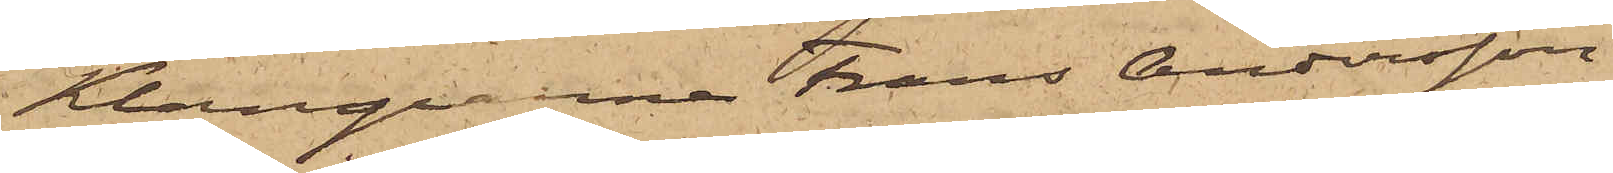Klamparna Frans Andersson,
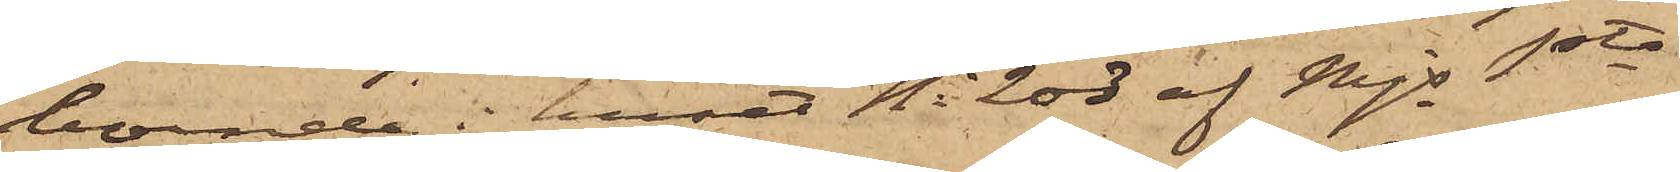boende i huset No 203 af Mjs 1sta
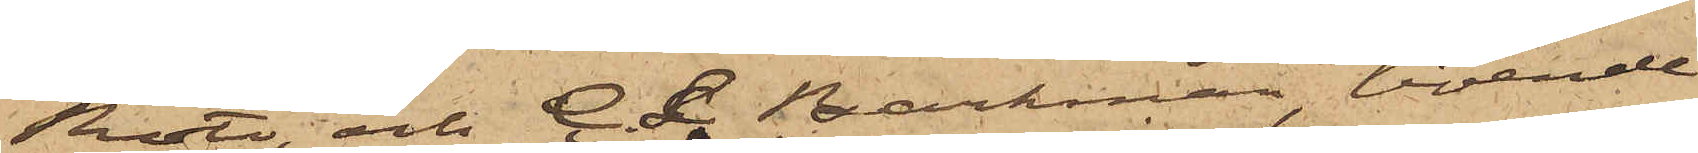Rote, och C. L. Barkman, boende
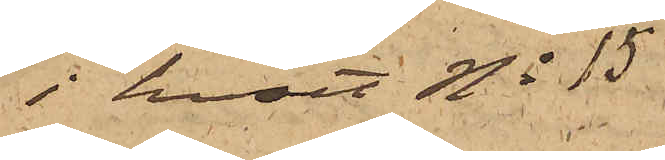i huset No 15
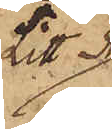Litt A
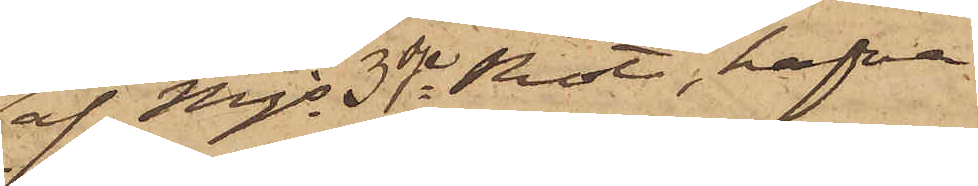af Mjs 3dje Rote, hafva
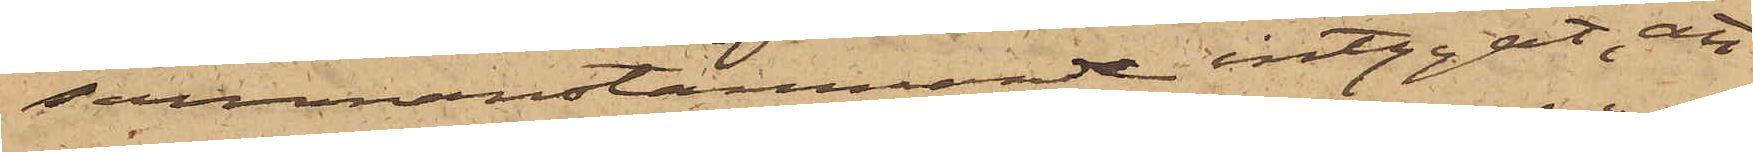sammanstämmande intygat, att
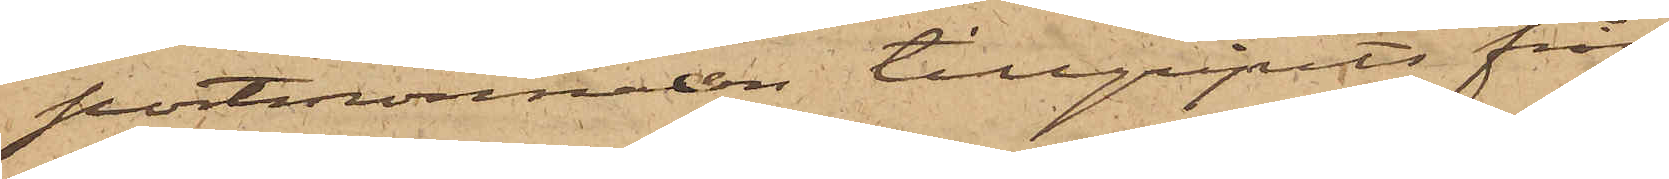portmonnaien tillgripits från
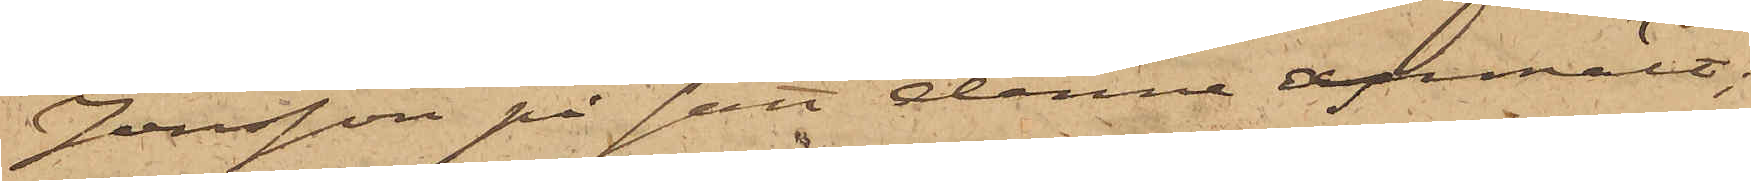Jonsson på sätt denne anmält;
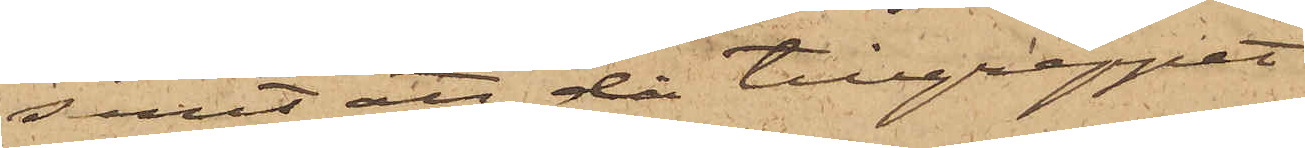samt att då tillgreppet
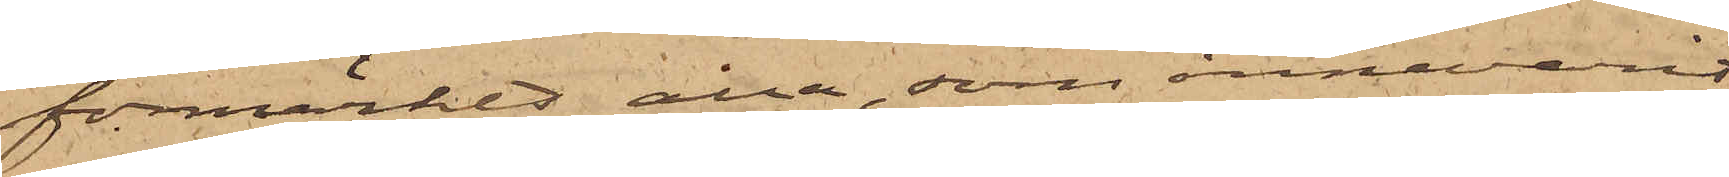förmärkts alla, som innevarit
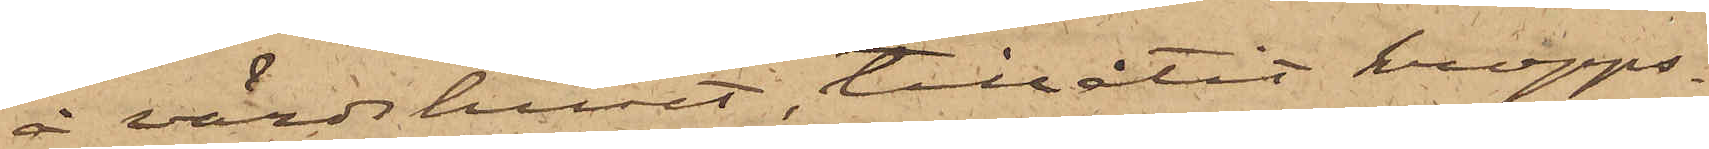å värdshuset, tillåtit kropps¬
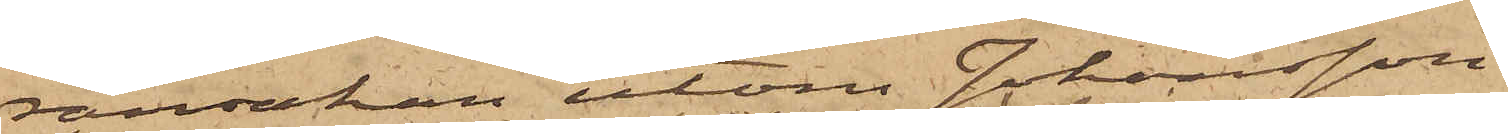ransakan utom Johansson.
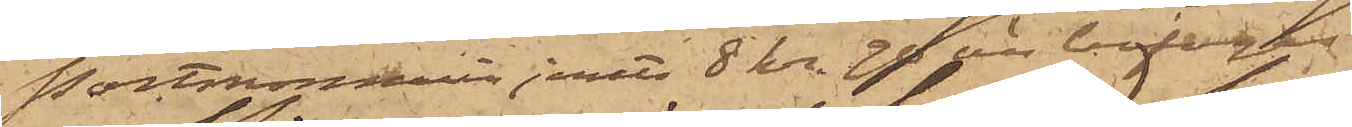Portmonnaien jemte 8 kr 90 öre bifogas.
